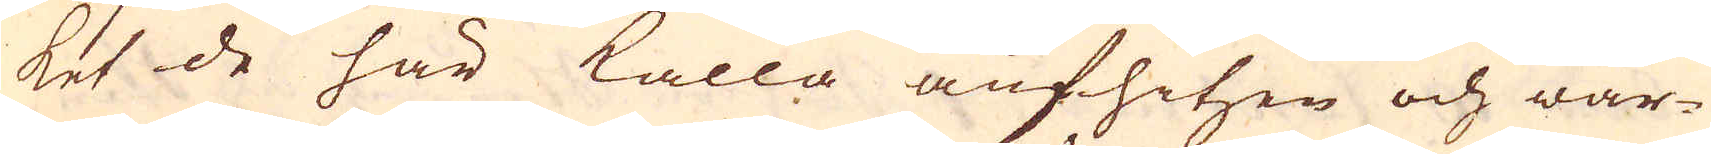ket de här kalla aufhitzen och war-
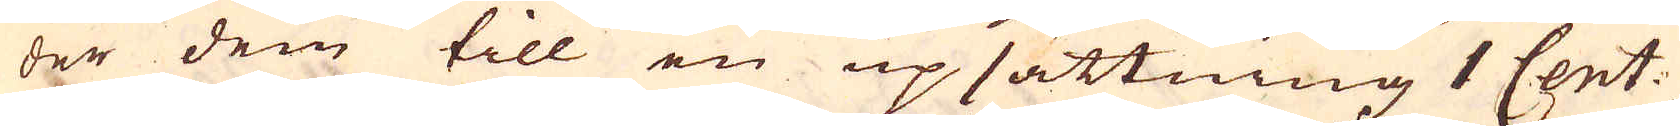der dem till en upsättning 1 Cent.
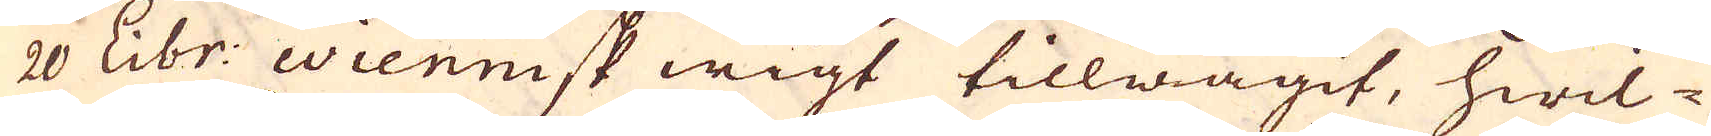20 Libr: wiennisk wigt tillwägit, hwil-
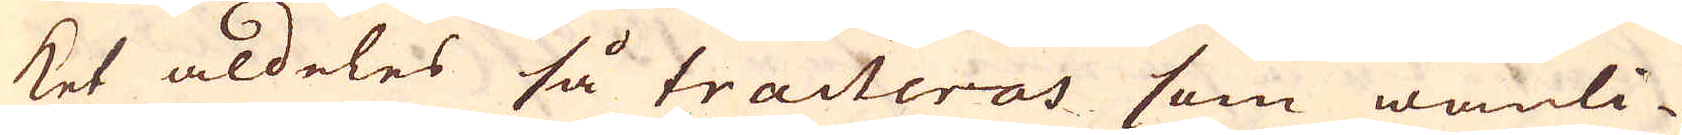ket aldeles så tracteras som wanli-
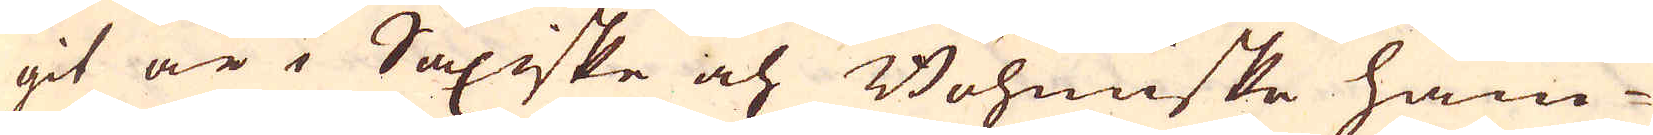git är i Saxiske och Böhmiske ham-
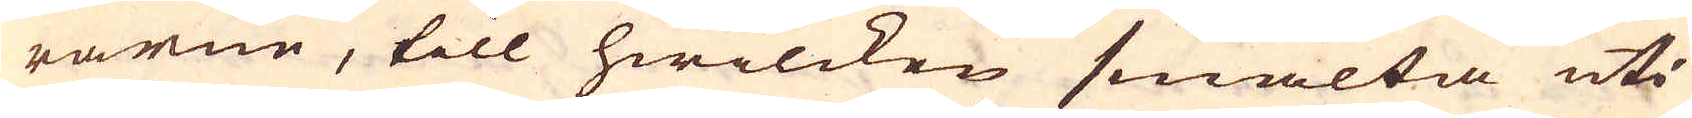rarne, till hwilcken smälta uti
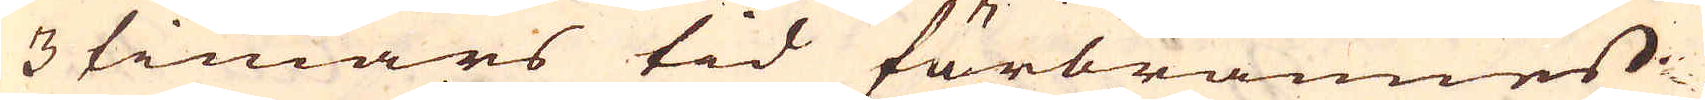3 timars tid förbrännes
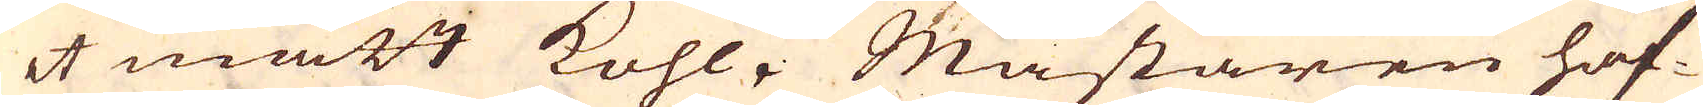4 mått Kohl. Mästaren haf-
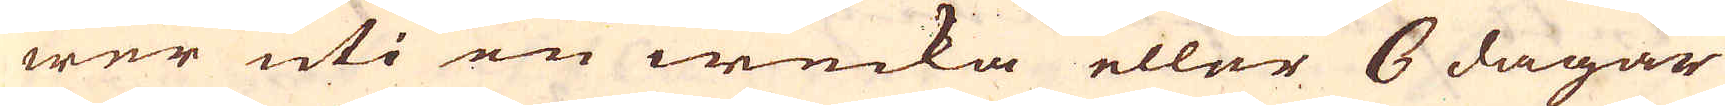wer uti en wecka eller 6 dagar
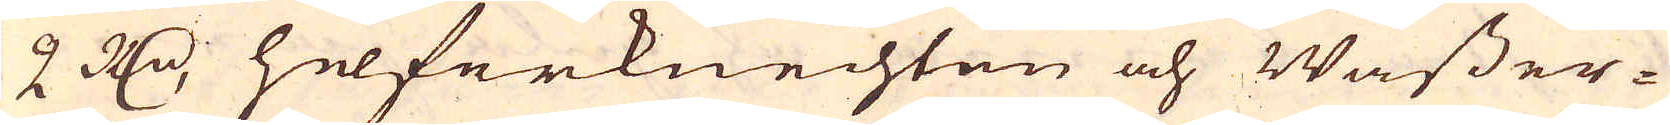2 R:dr, helferknechten och Wasser-
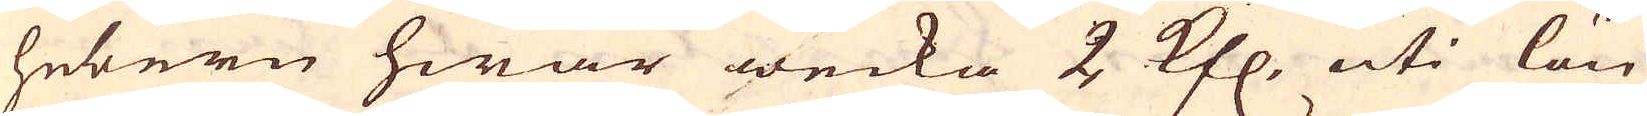hebern hwar wecka 2 Kfl. uti lön
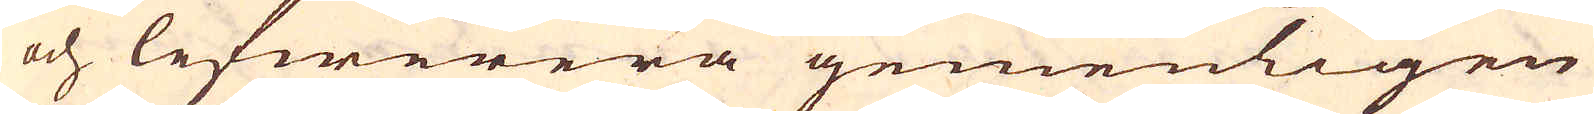och lefwerera gemenligen
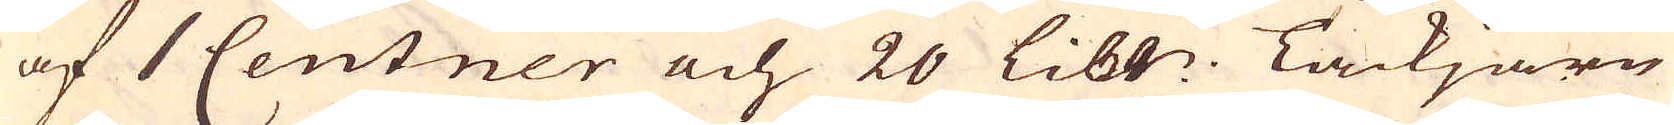af 1 Centner och 20 Libr: Tackjärn
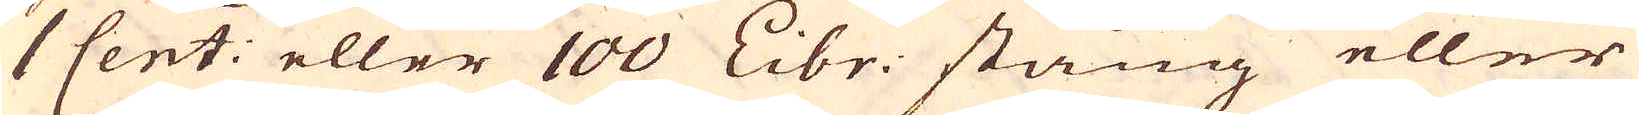1 Cent: eller 100 Libr: stång eller
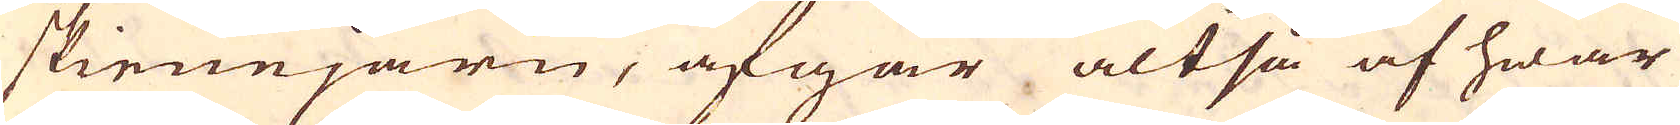skienejärn, afgår altså af hwar
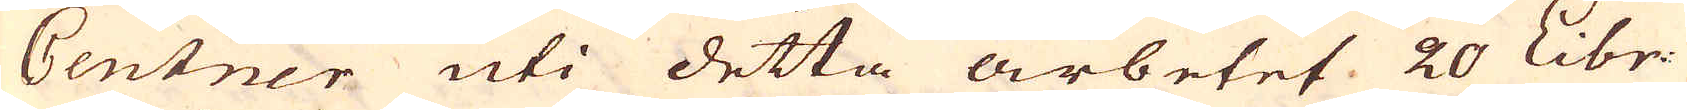Centner uti detta arbetet 20 Libr:
